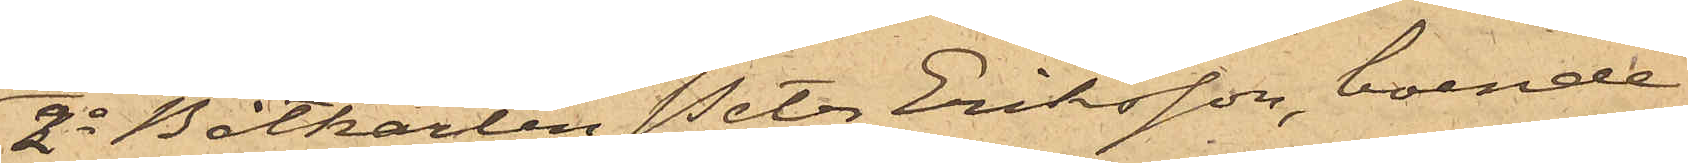2o Båtkarlen Peter Eriksson, boende
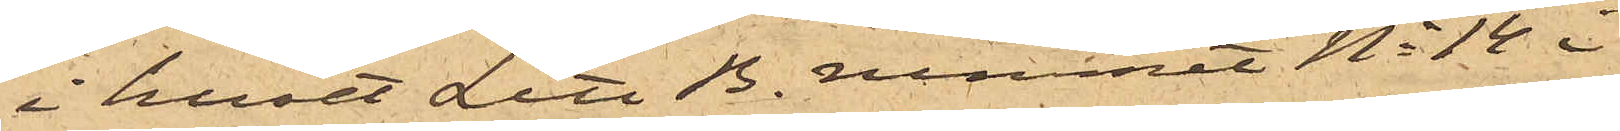i huset Litt B. rummet No 14 i
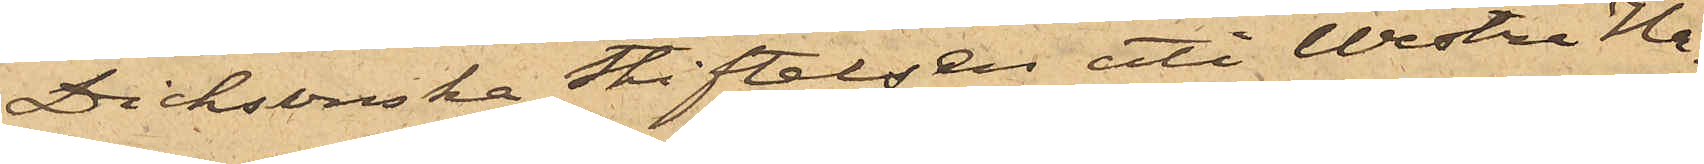Dicksonska Stiftelsen uti Westra Ha¬
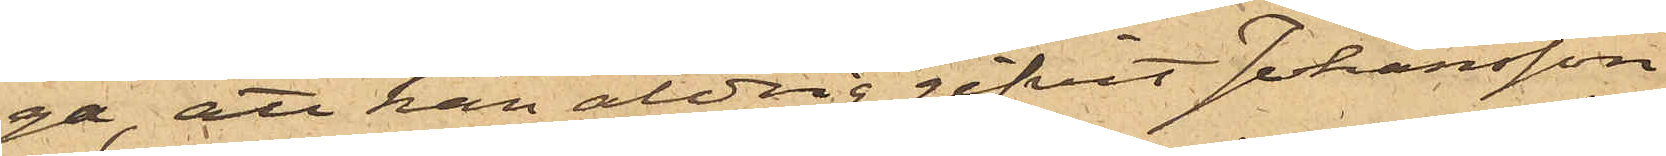ga, att han aldrig gifvit Johansson
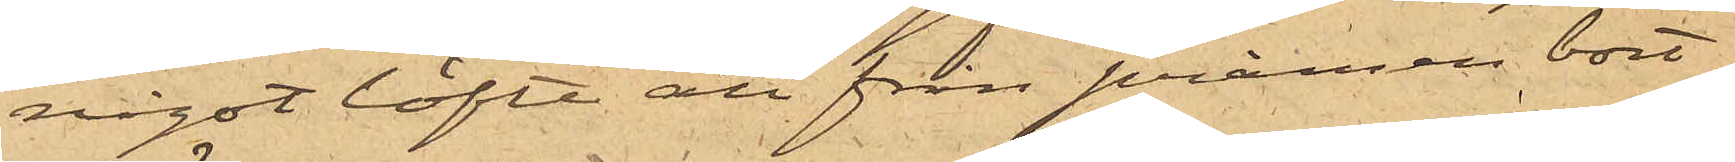något löfte att från pråmen bort¬
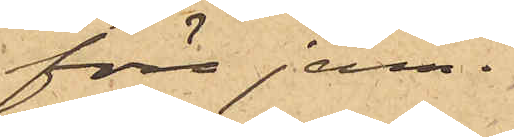föra jern.
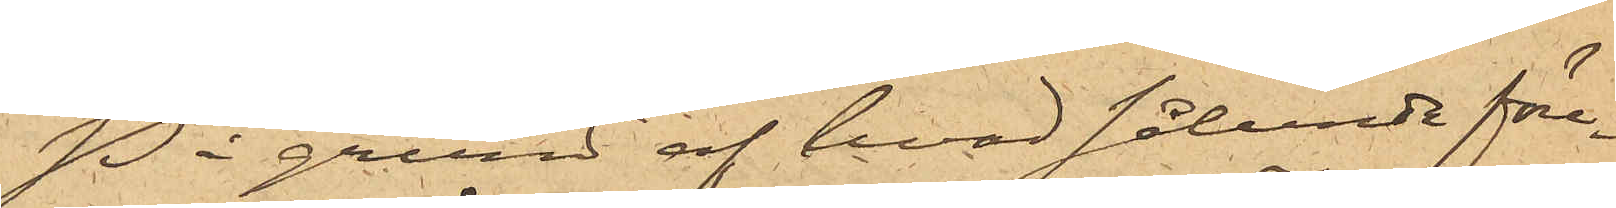På grund af hvad sålunda före¬
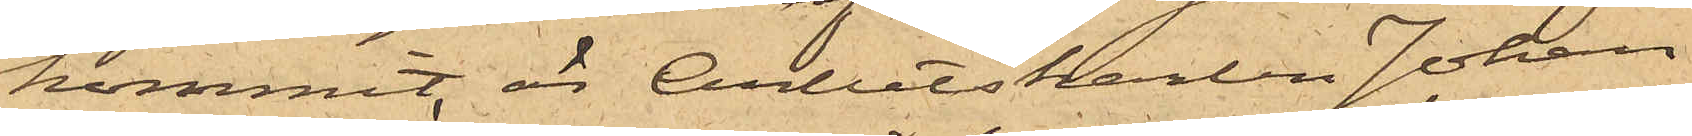kommit, är Arbetskarlen Johan
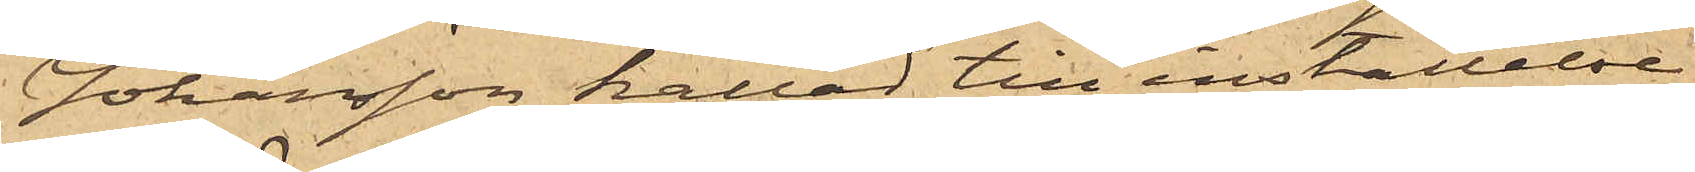Johansson kallad till inställelse
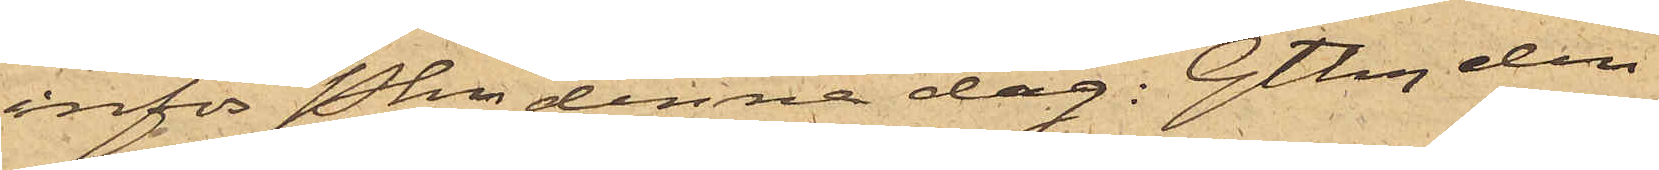inför Pkn denna dag: Gtbg den
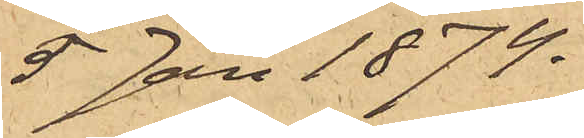5 Jan 1874.
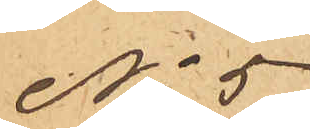No 5
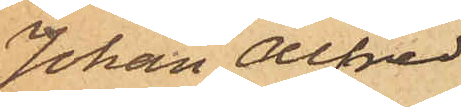Johan Alfred
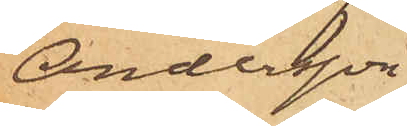Andersson
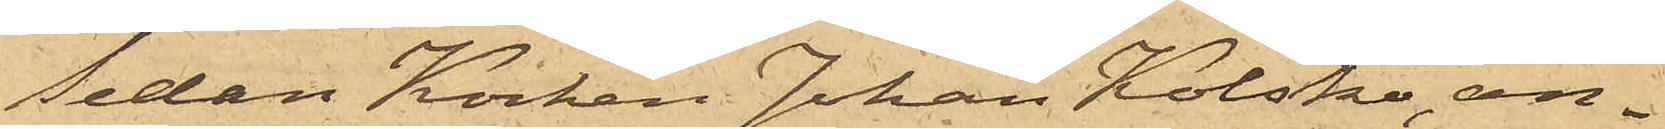Sedan Kocken Johan Kolsko, an¬
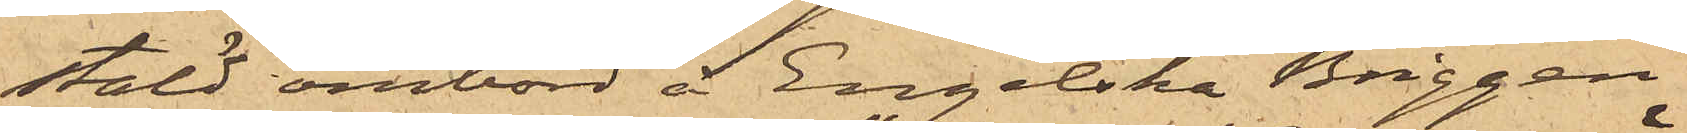stäld ombord å Engelska Briggen
